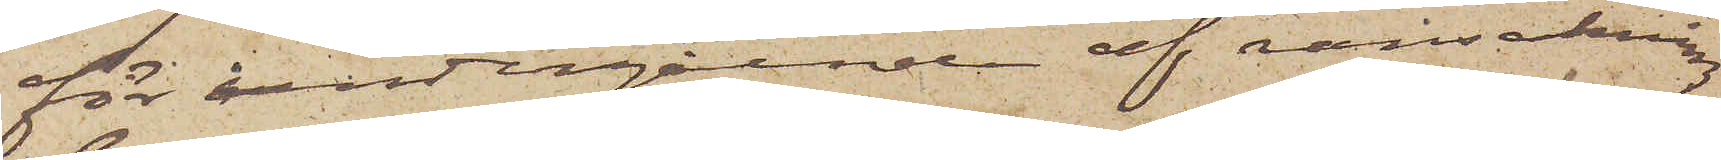för undergående af ransakning
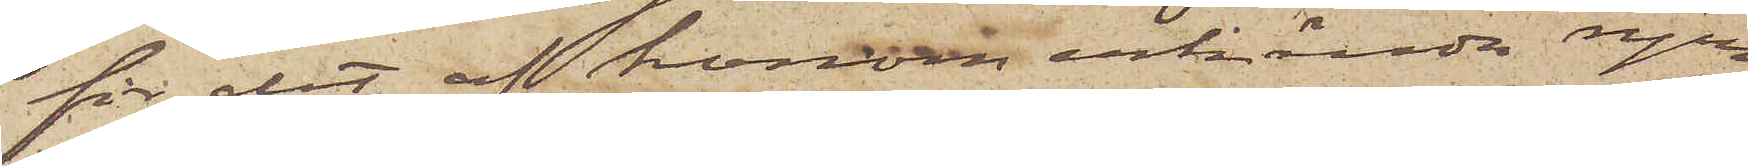för det af honom erkända rym¬
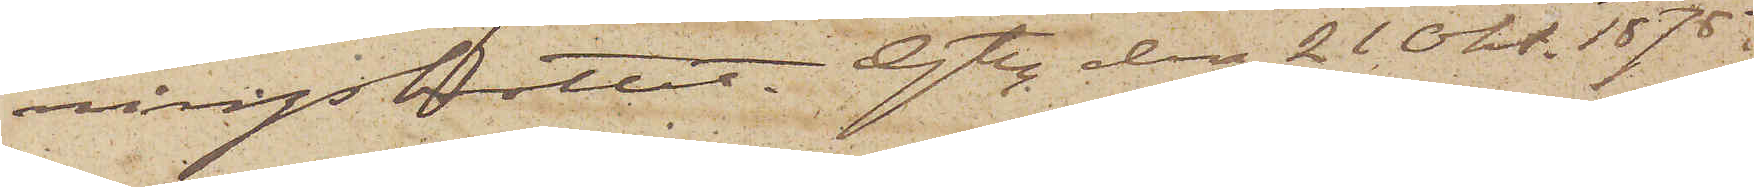ningsbrottet. Gtbg den 21 Okt. 1878.
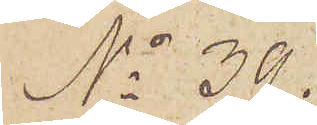No 39.
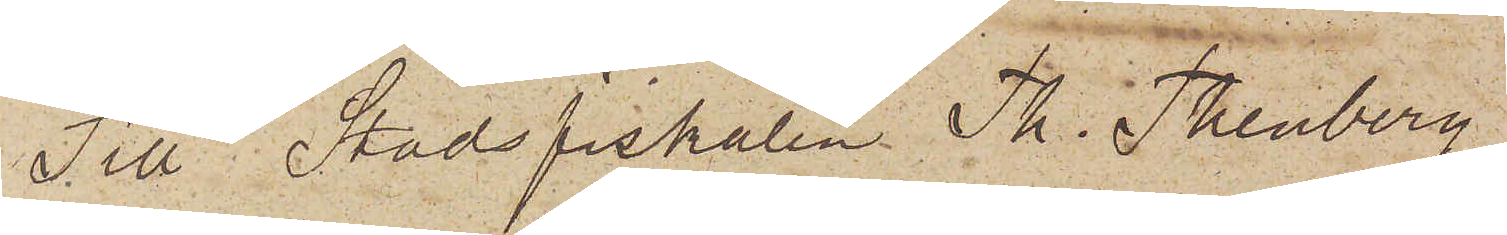Till Stadsfiskalen Th. Thenberg.
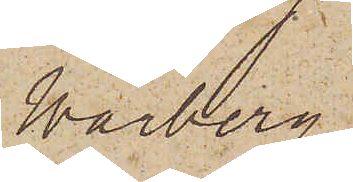Warberg.
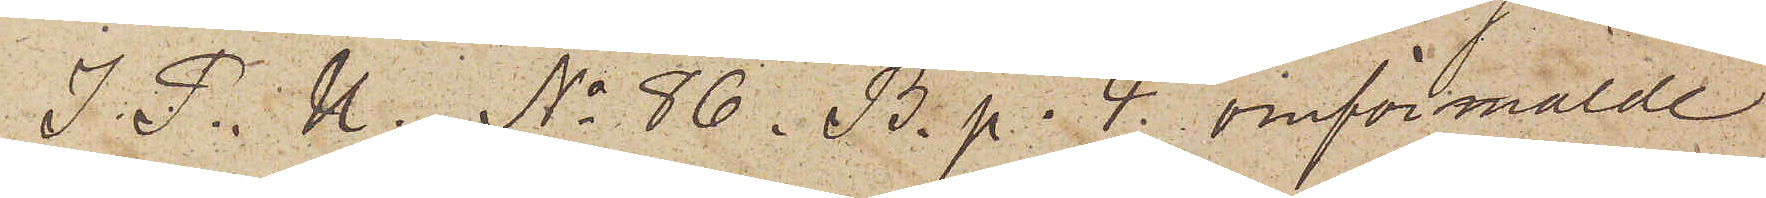I. P. U. No 86. B. p. 4. omförmälde
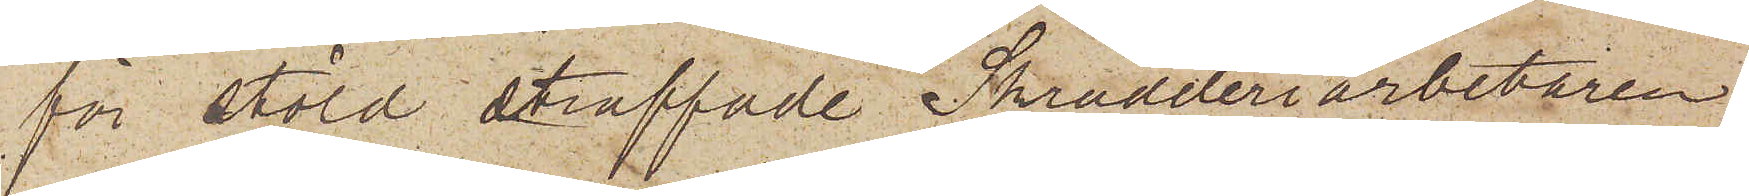för stöld straffade Skrädderiarbetaren
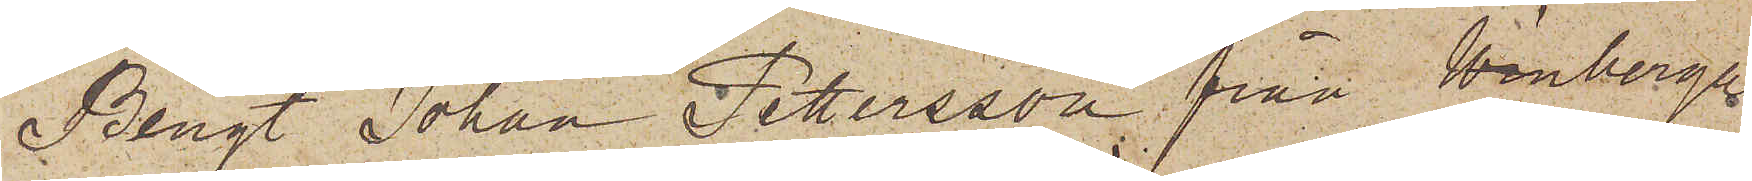Bengt Johan Petersson från Winberga
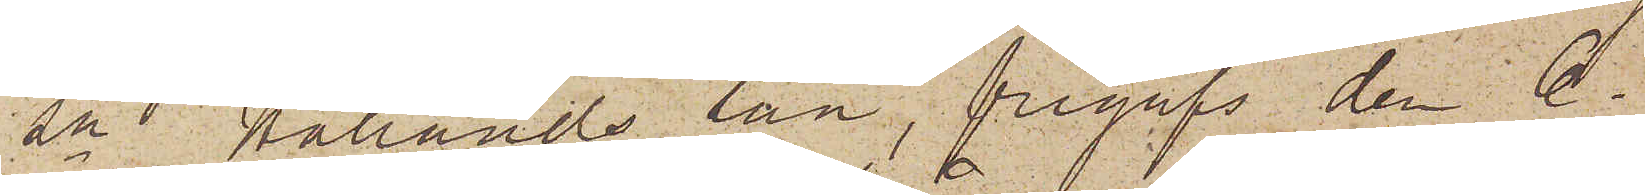Sn Hallands län, frigafs den 6.
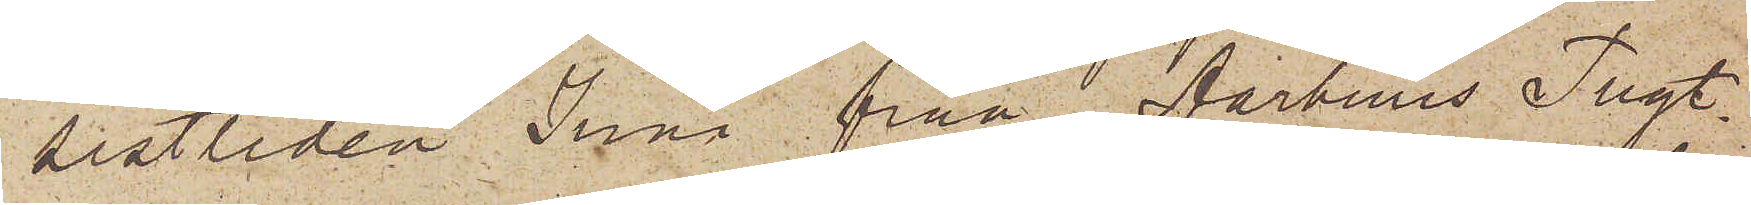sistliden Juni från Aarhuus Tugt¬
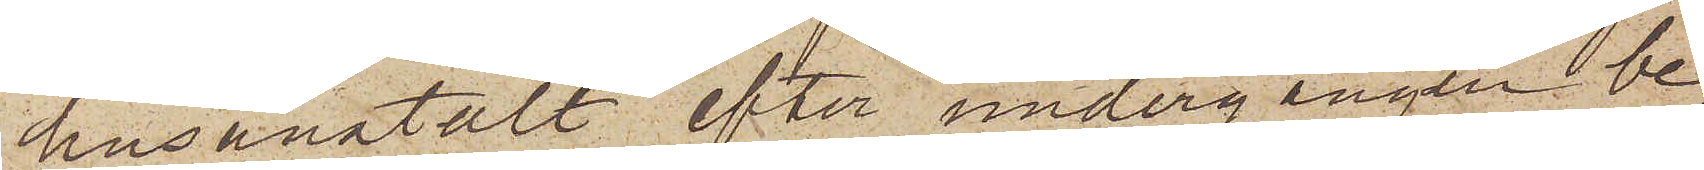husanstalt efter undergången be¬
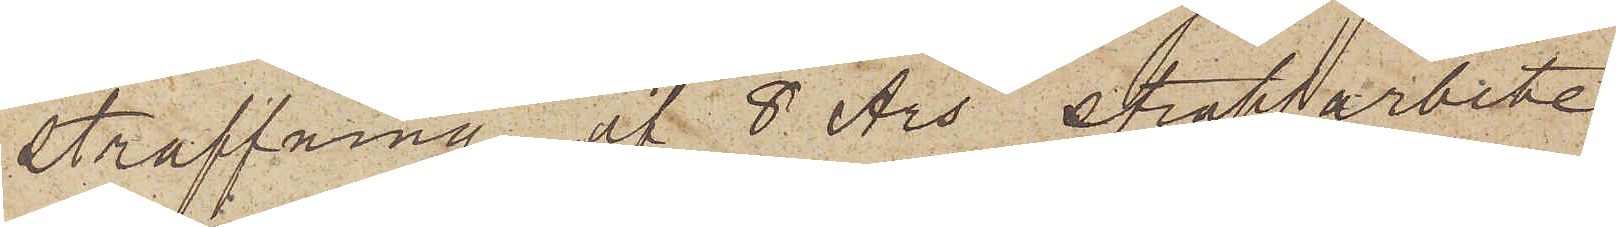straffning af 8 års straffarbete
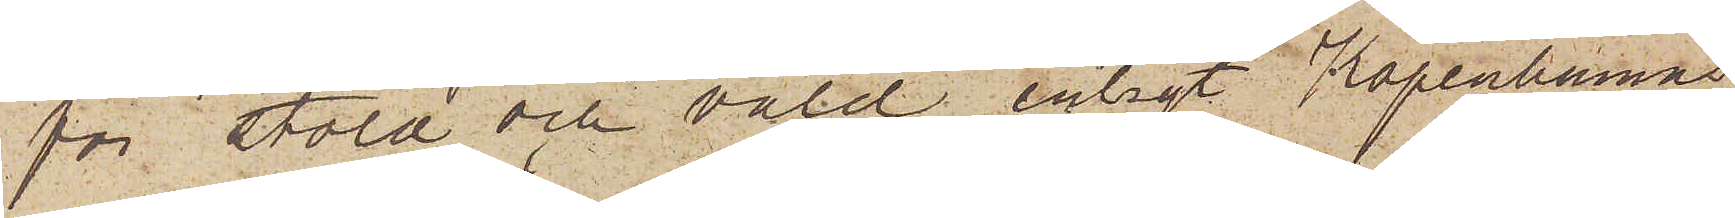för stöld och våld enligt Köpenhamns
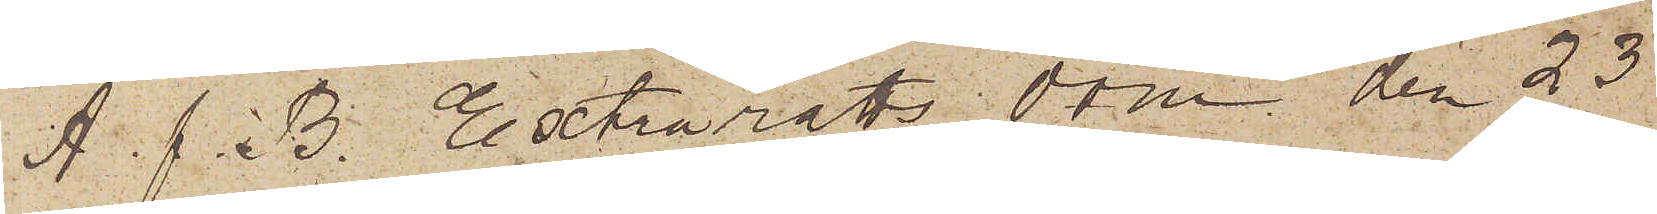A. f. B. Extrarätts dom den 23
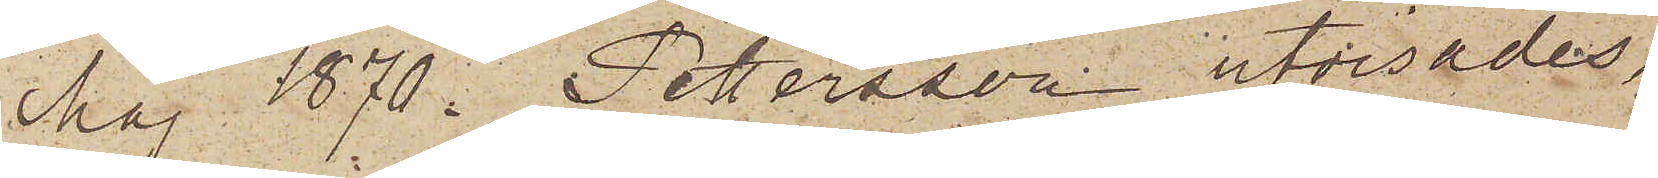Maj 1870. Pettersson utvisades,
